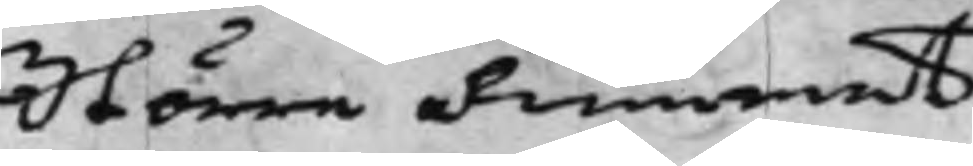Större Rummet.
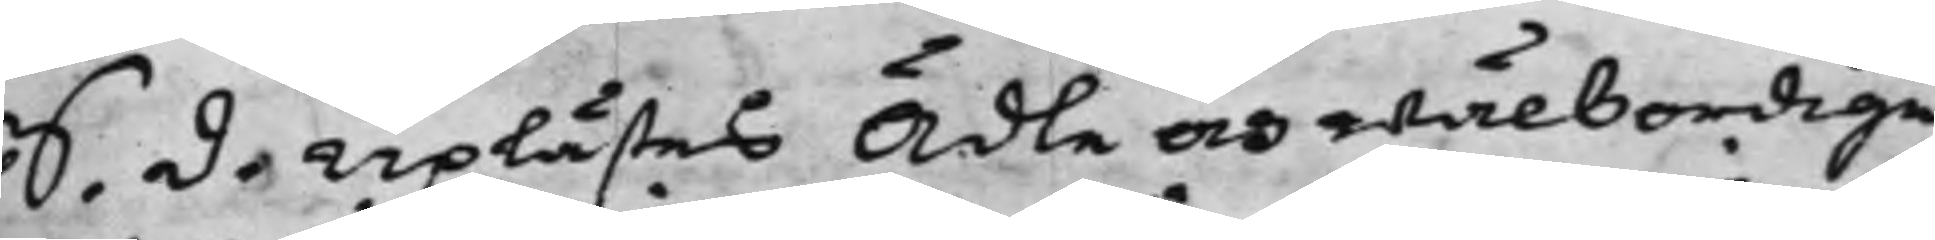S. d. Uplästes Ädle och wälbordige
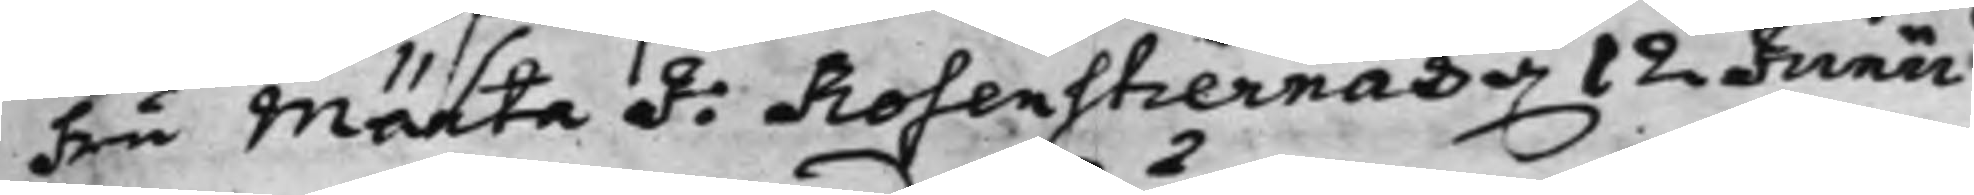Fru Märta J: Rosenstiernas d. 12 Junii
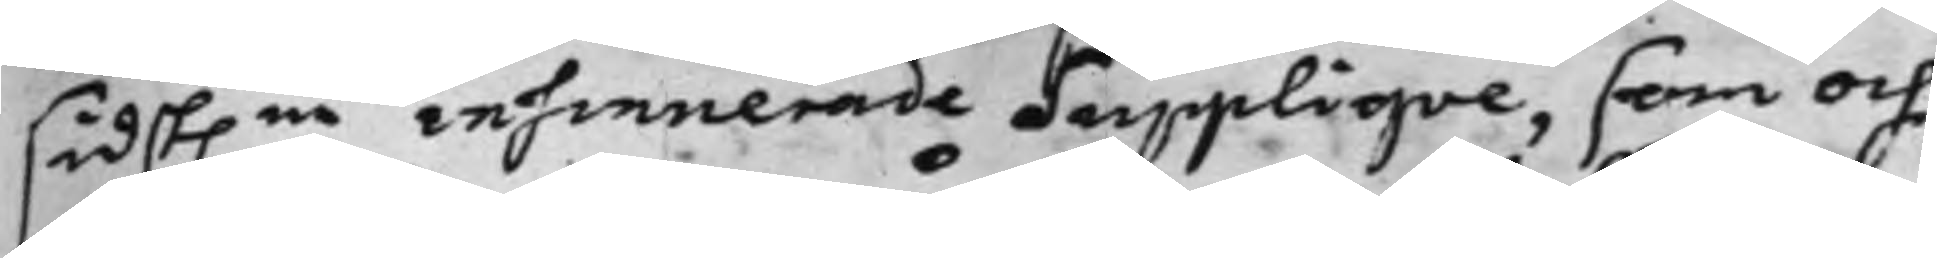sidst.ne insinuerade Suppliqve, som och
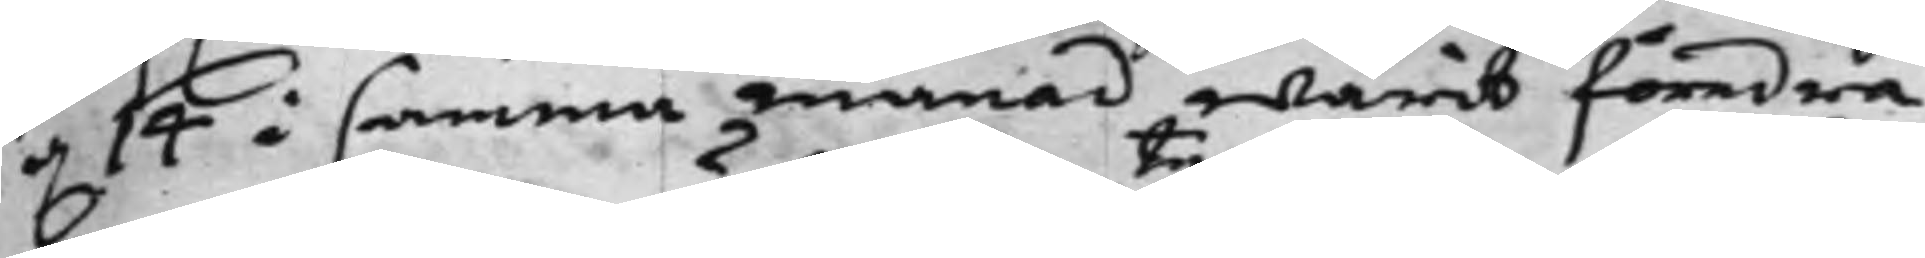d. 14 i samma månad warit föredra¬
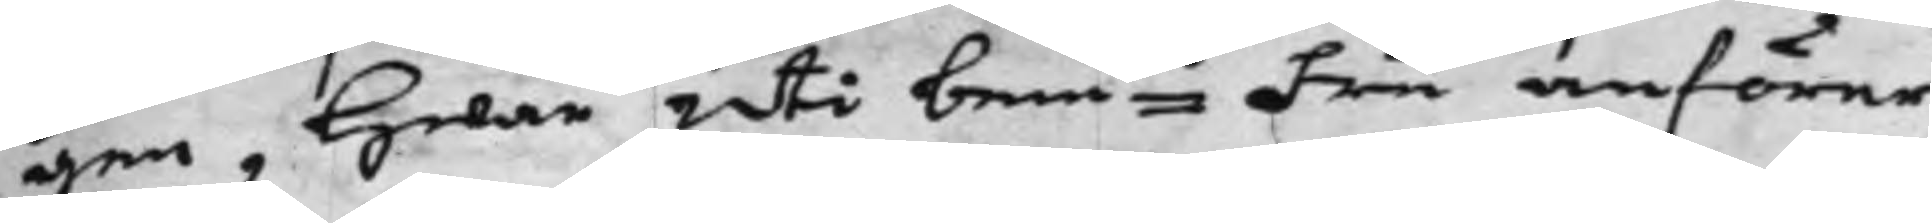gen, Hwar Uti bemte Fru anförer,
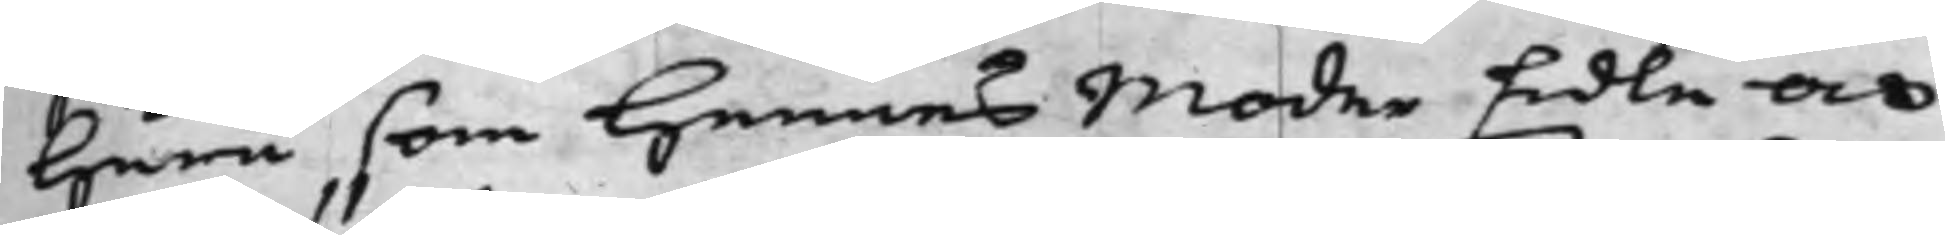Huru som Hennes Moder Edla och
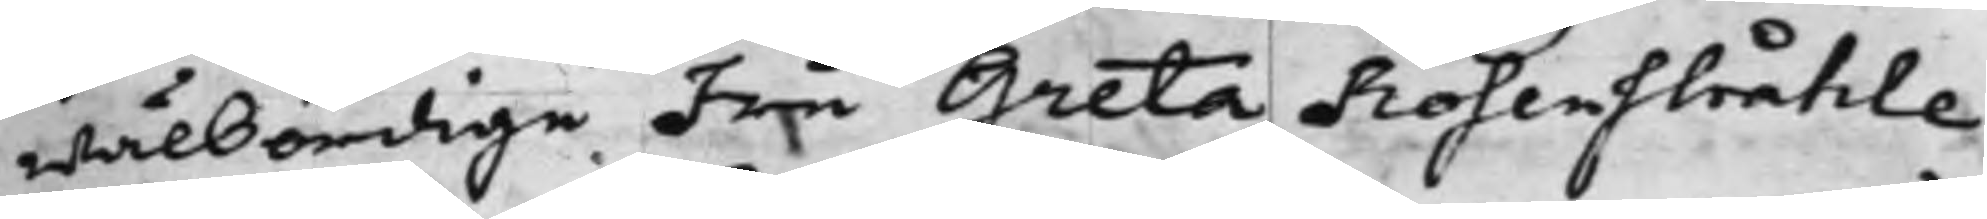wälbördige Fru Greta Rosenstråhle
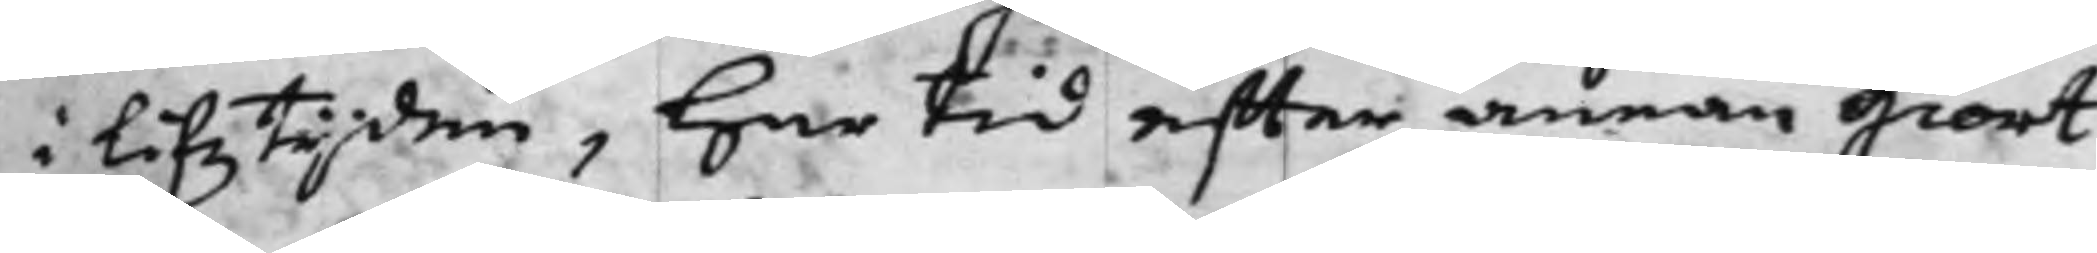i Lifztiden, Har tid effter annan giort
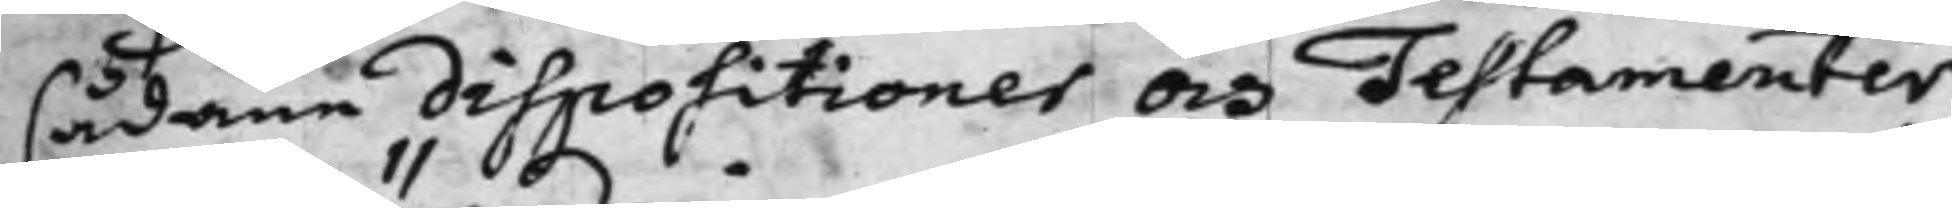sådana dispositioner och Testamenter¬
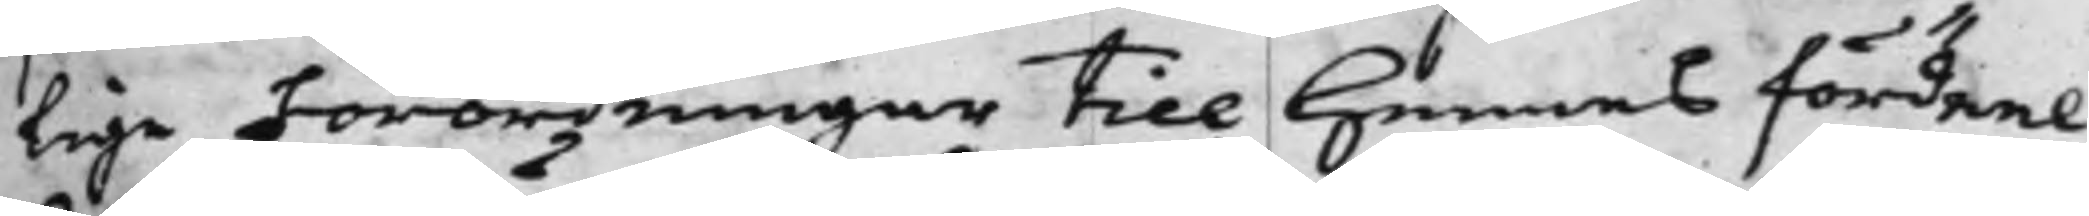lige Förordningar till hennes fördeel,
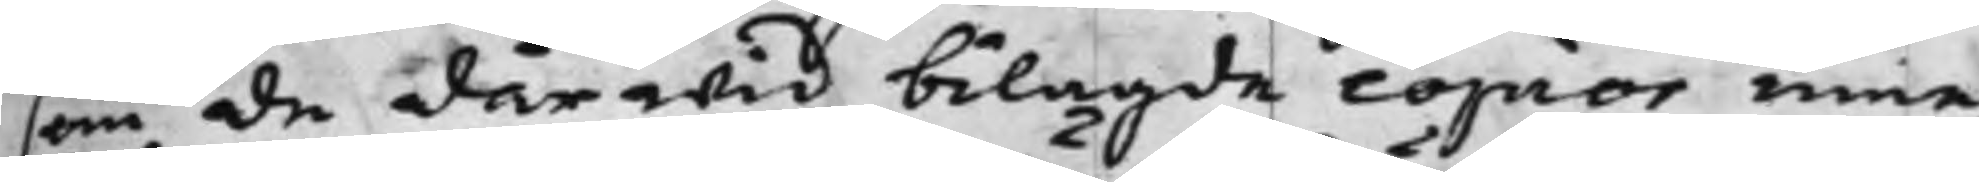som de därwid bilagde copior inne¬
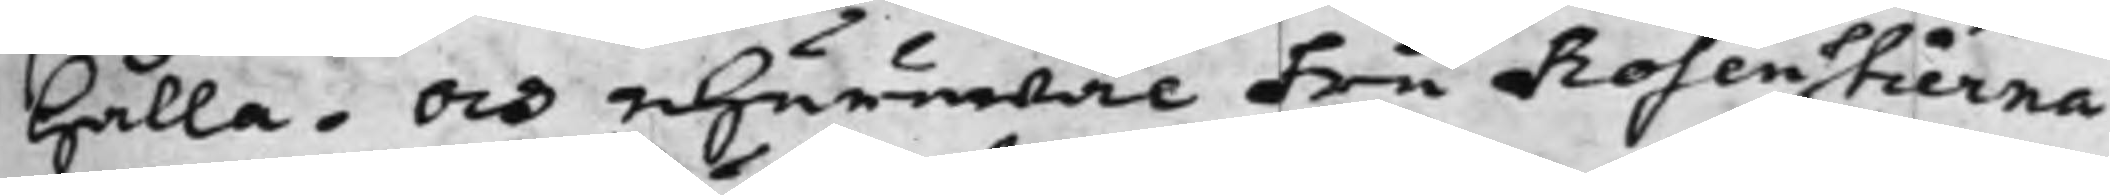hålla. Och ehuruwäl Fru Rosenstierna
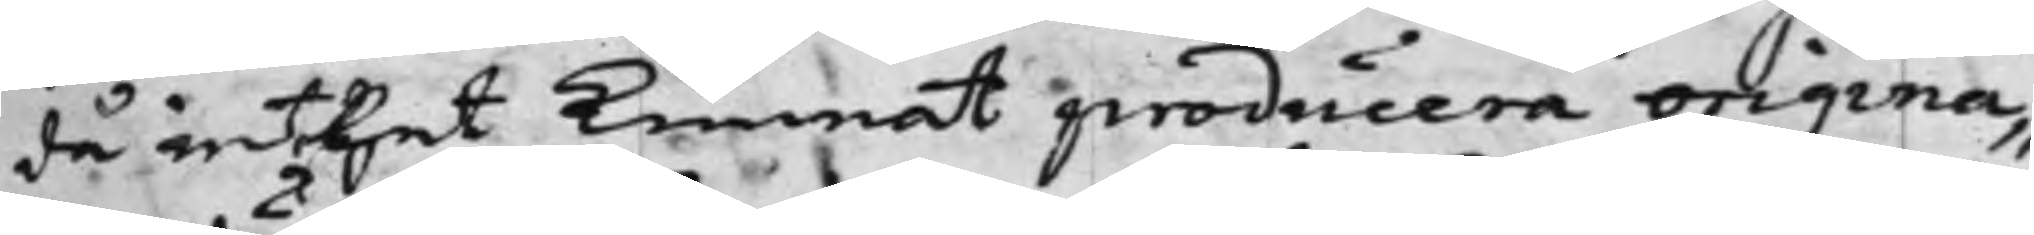då inthet Kunnat producera origina¬
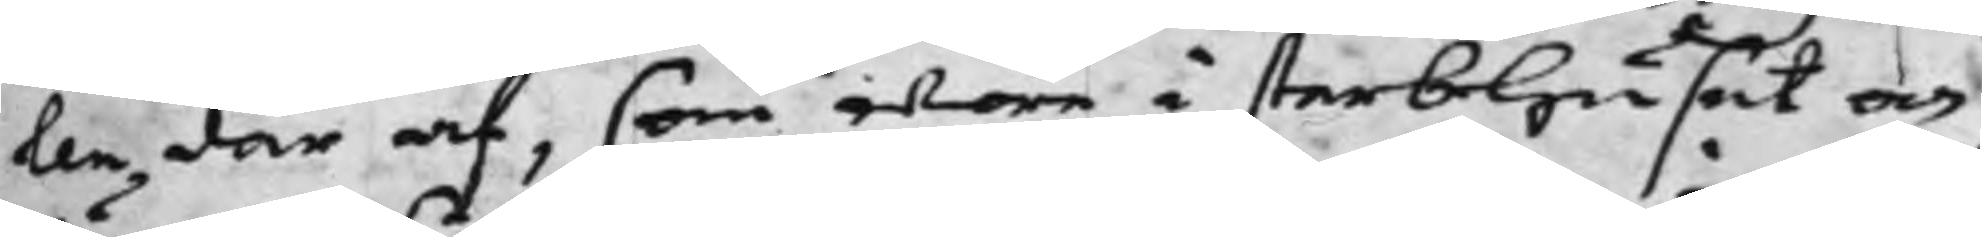len där af, som wore i sterbhuset och
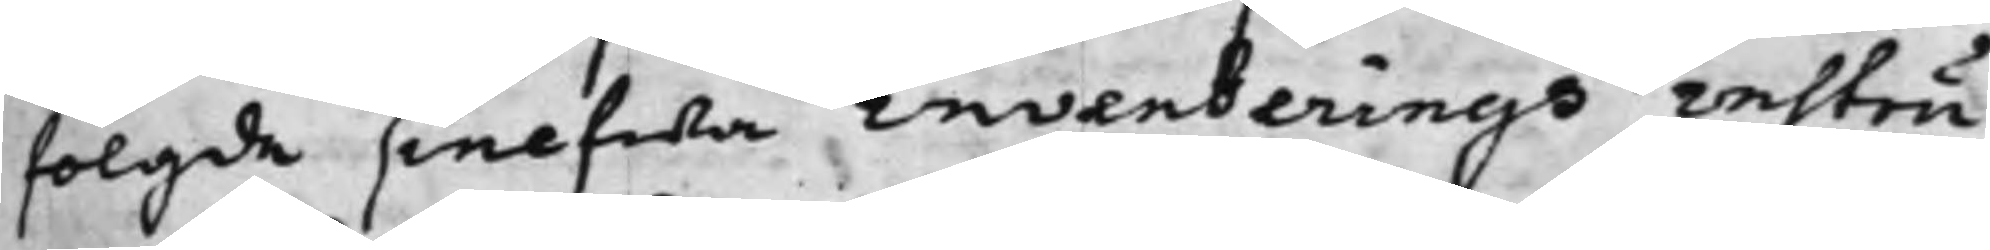fölgde sielfwa inventerings instru¬
